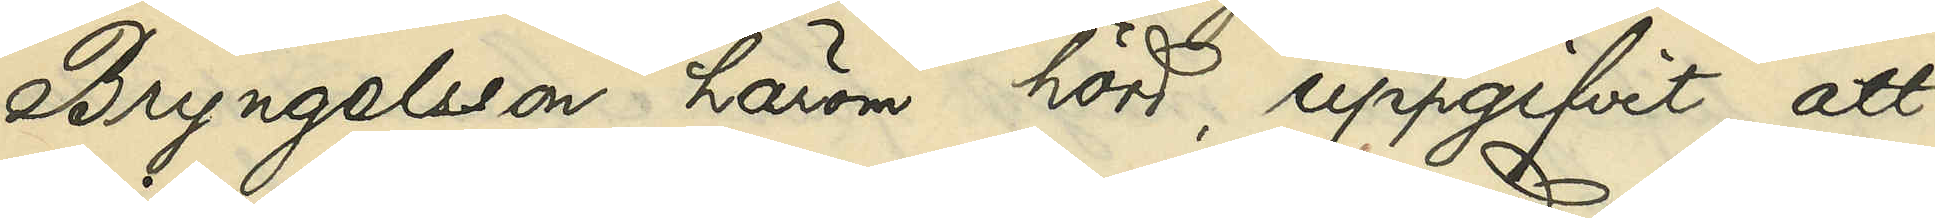Bryngelsson, härom hörd, uppgifvit, att
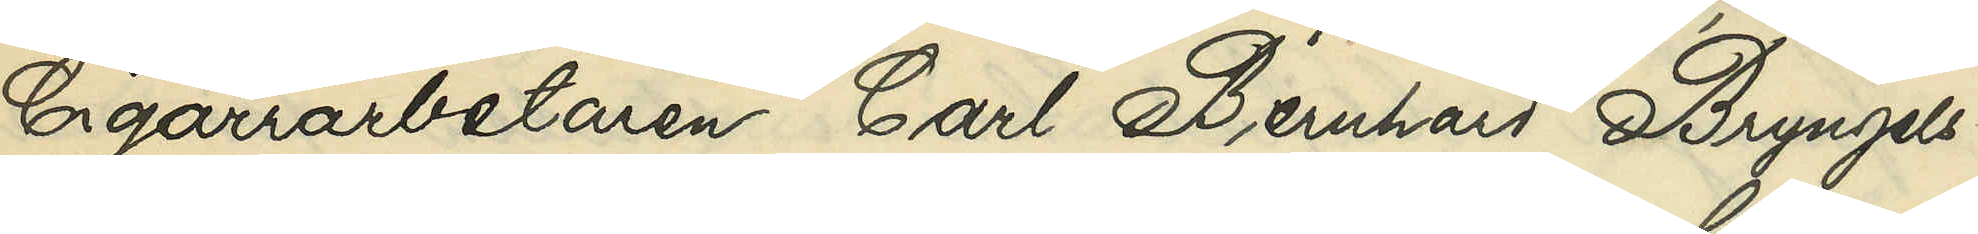Cigarrarbetaren Carl Bernhard Bryngels¬
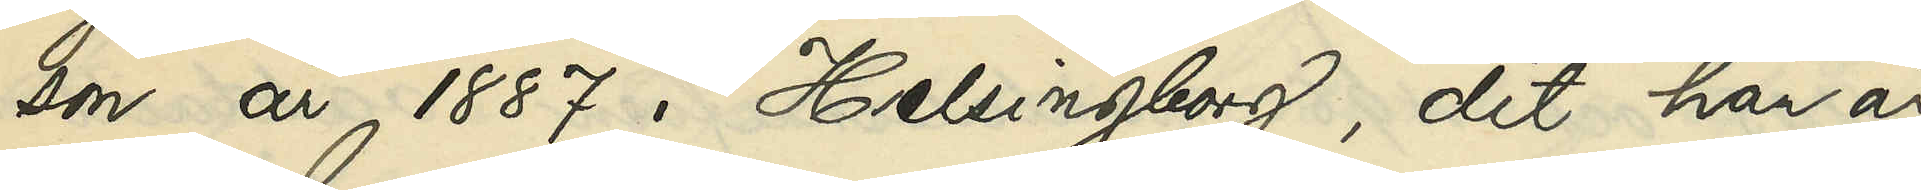son år 1887 i Helsingborg, dit han år
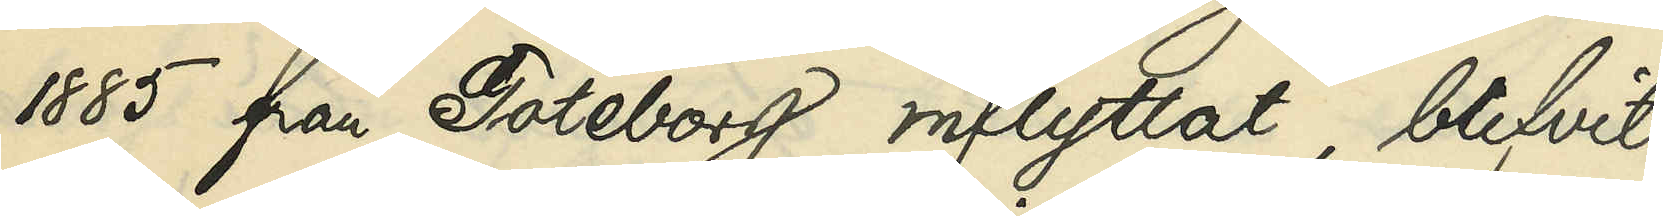1885 från Göteborg inflyttat, blifvit
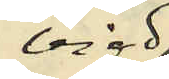vigd
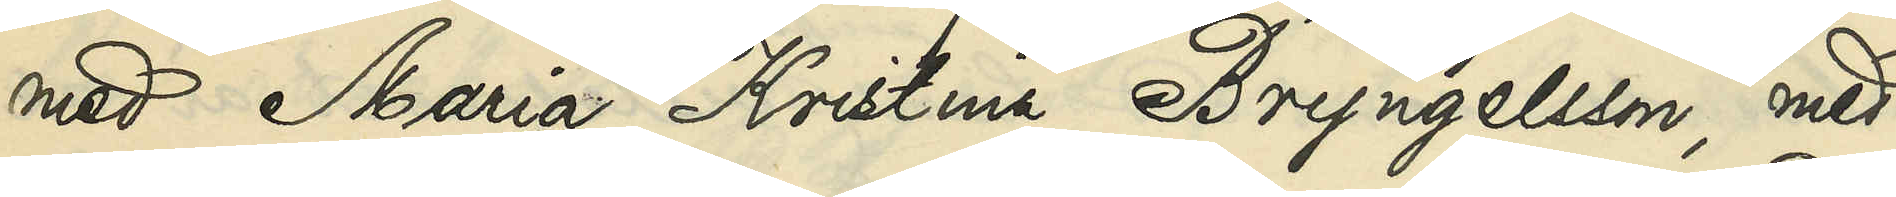med Maria Kristina Bryngelsson, med
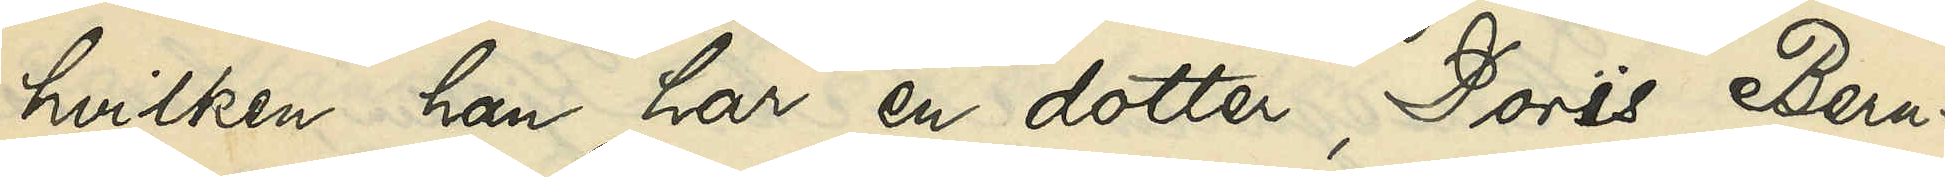hvilken han har en dotter, Doris Bern¬
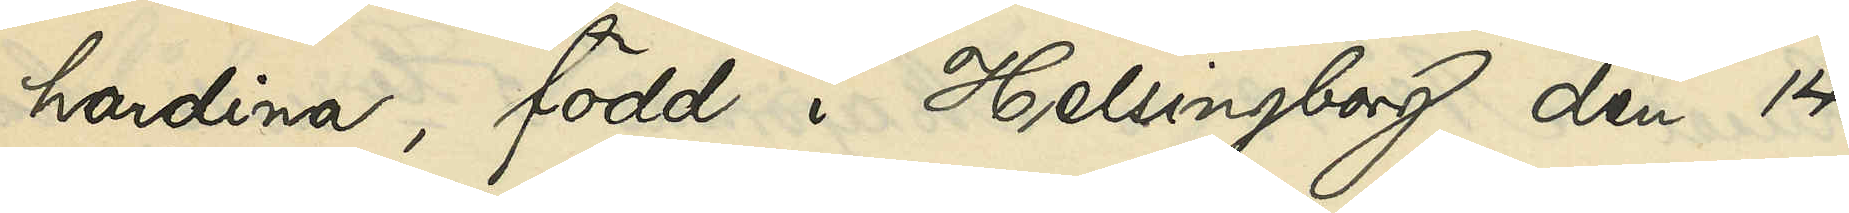hardina, född i Helsingborg den 14
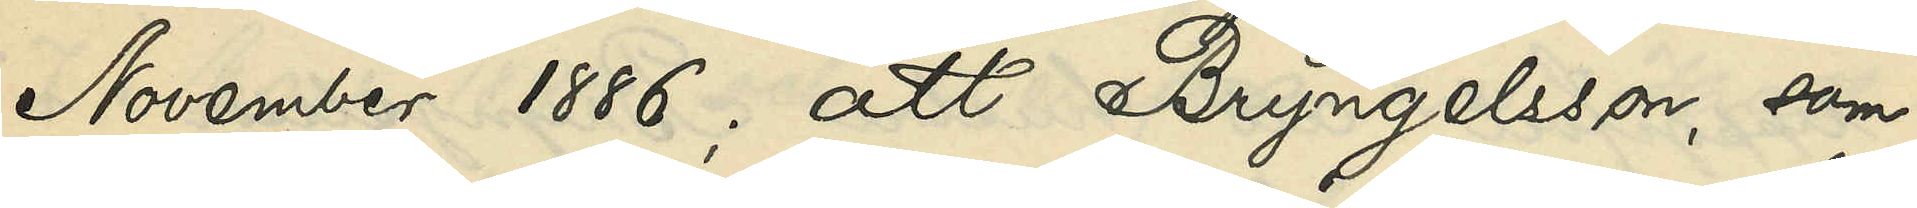November 1886; att Bryngelsson, som
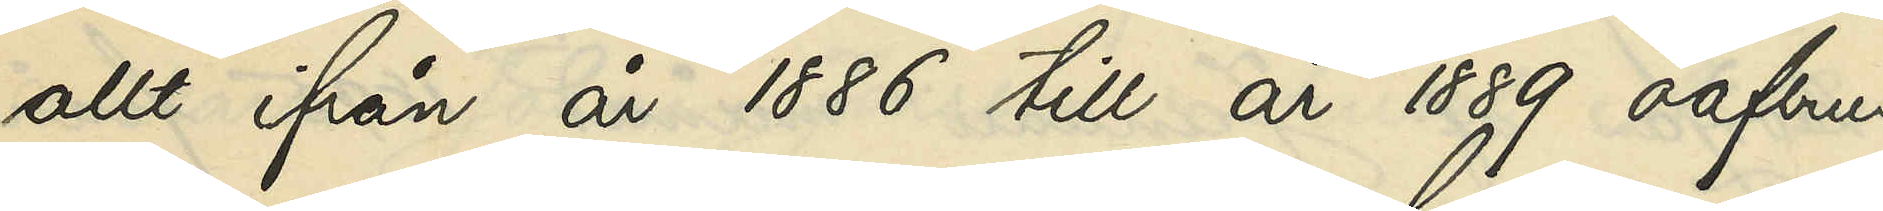allt från år 1886 till år 1889 oafbru¬
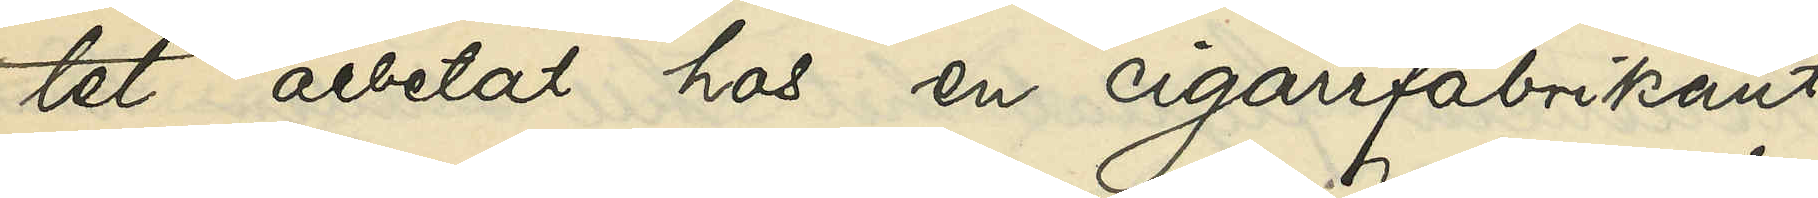tet arbetat hos en cigarrfabrikant
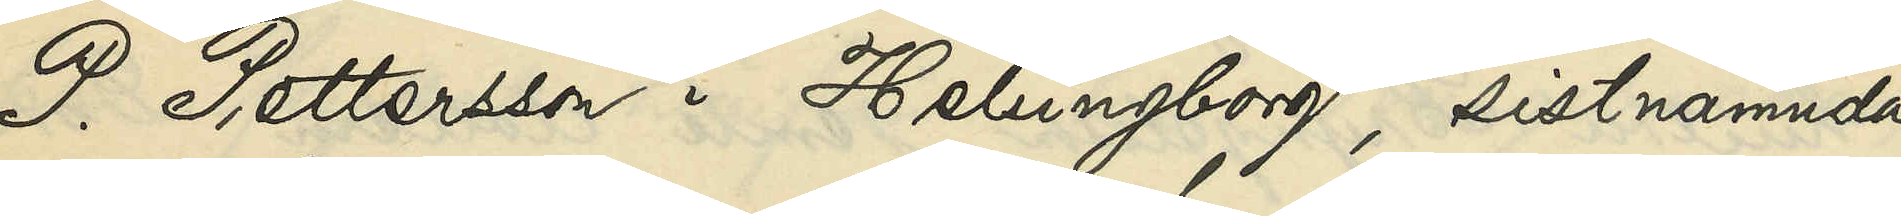P. Pettersson i Helsingborg, sistnämnda
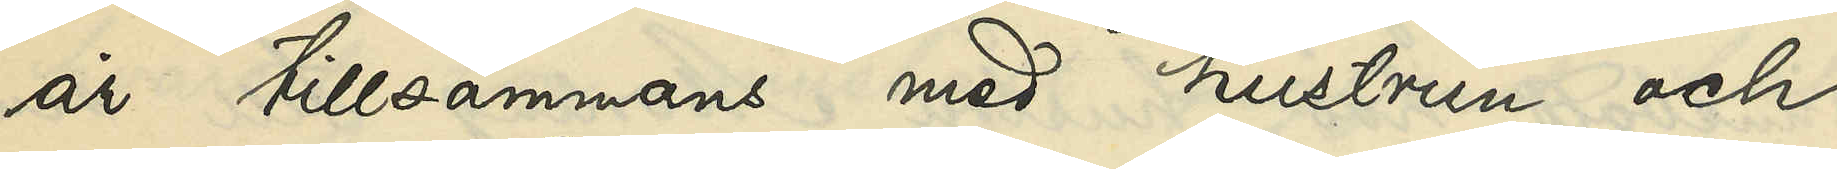år tillsammans med hustrun och
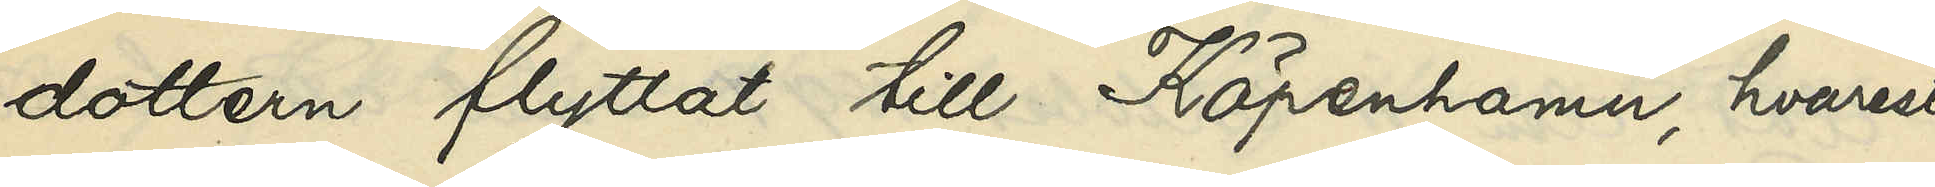dottern flyttat till Köpenhamn, hvarest
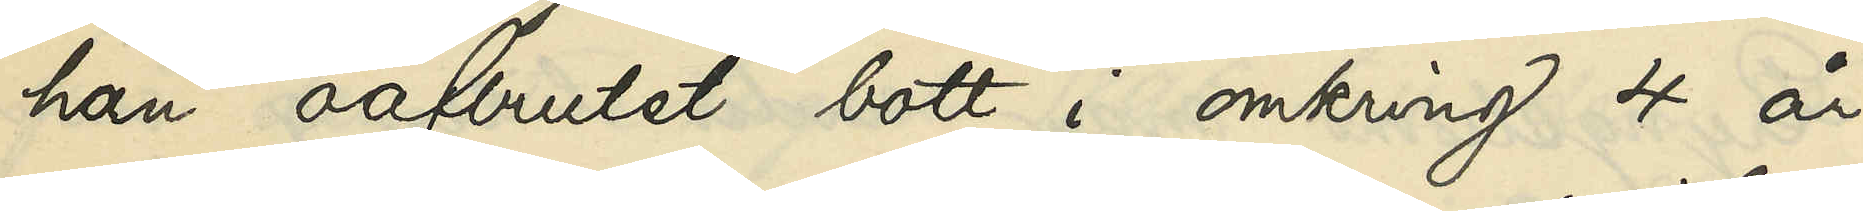han oafbrutet bott i omkring 4 år
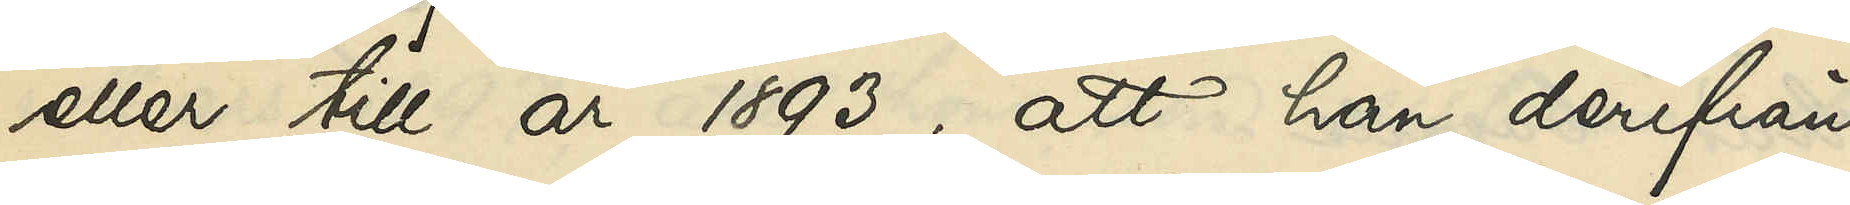eller till år 1893; att han derifrån
